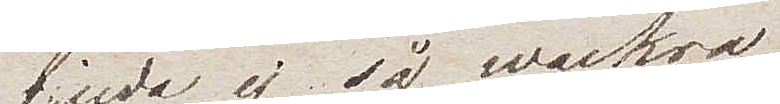bjuda ej så vackra
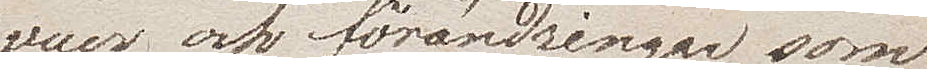vuer och förändringar som
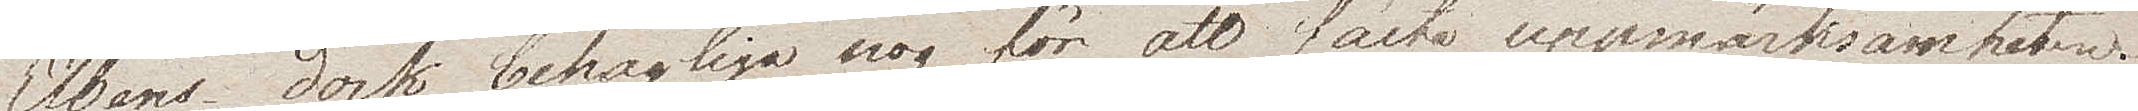Elbens, dock behagliga nog för att fästa uppmärksamheten.
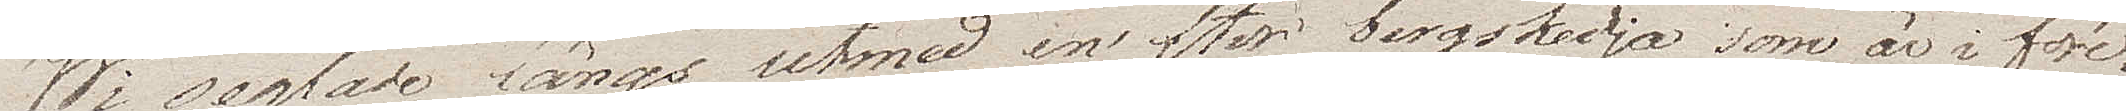Wi seglade längs utmed en stor bergskedja som är i före¬
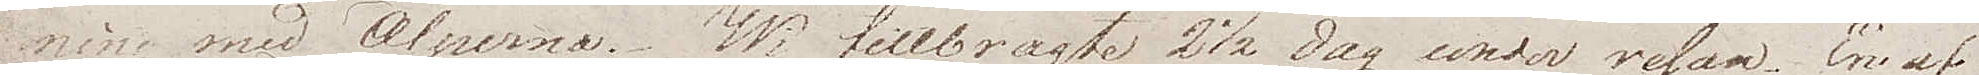ning med Alperna. Wi tillbragte 2½ dag under resan. En af
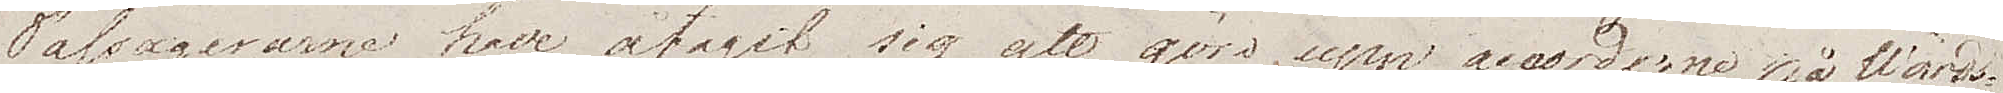Passagerarna hade åtagit sig att göra upp accorderna på Wärds¬
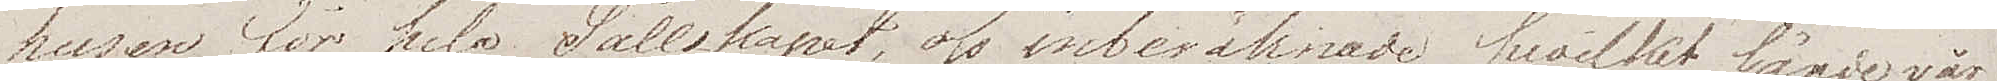husen för hela Sällskapet, oss inberäknade, hvilket lände vår
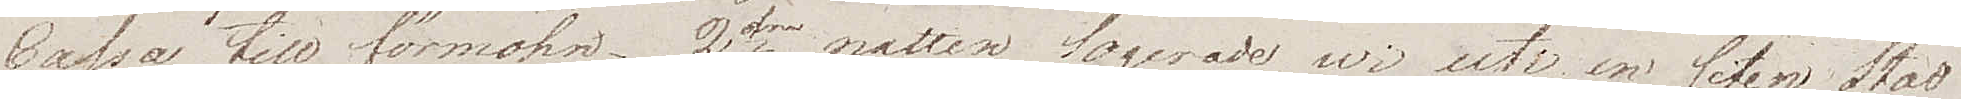Cassa till förmohn. 2dra natten logerade wi uti en liten Stad
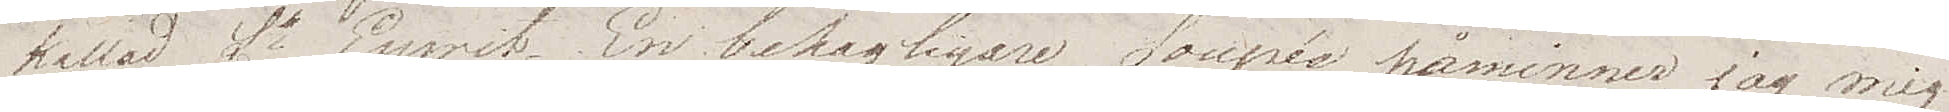kallad St Esprit. En behagligare Soupée påminner jag mig
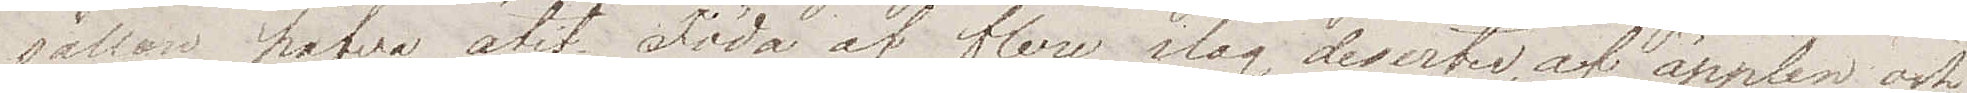sällan hafva ätit. Föda af flera slag, deserter, af äpplen och
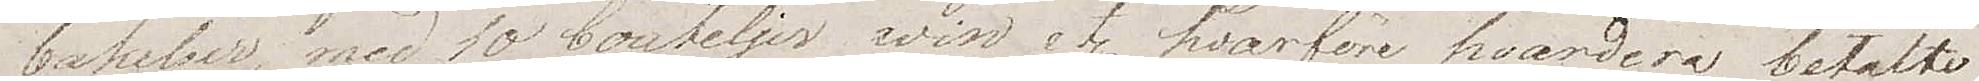bakelser, med 10 bouteljer win etc. hvarföre hvardera betalte
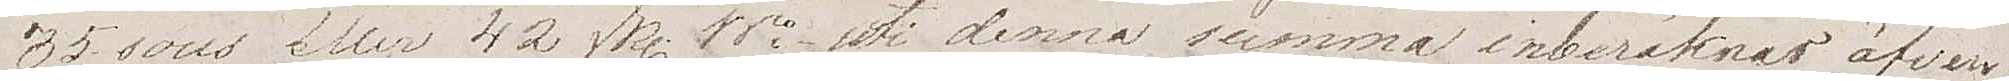35 sous eller 42 Rdr Bco. Uti denna summa inberäknas äfven
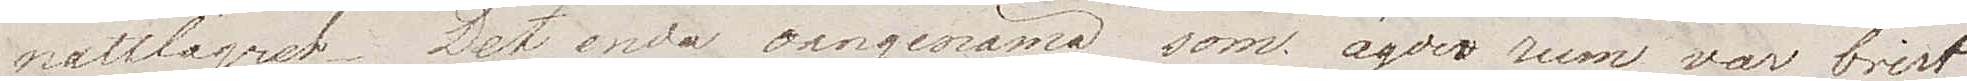nattlägret. Det enda oangenäma som ägde rum var brist
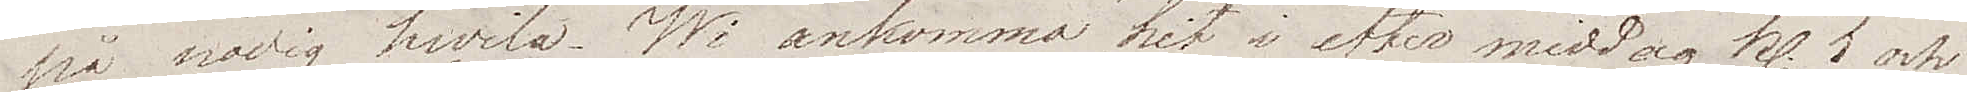på nödig hvila. Wi ankommo hit i eftermiddag kl. 5 och
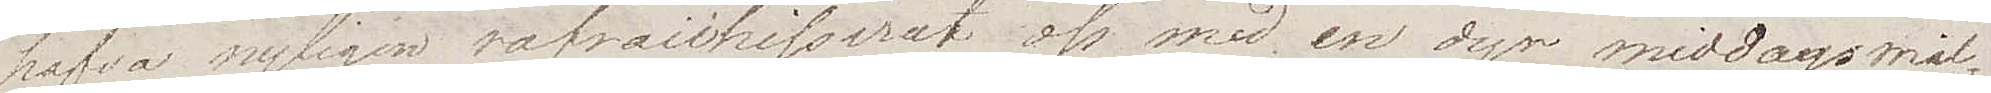hafva nyligen rafraichisserat oss med en dyr middagsmål¬
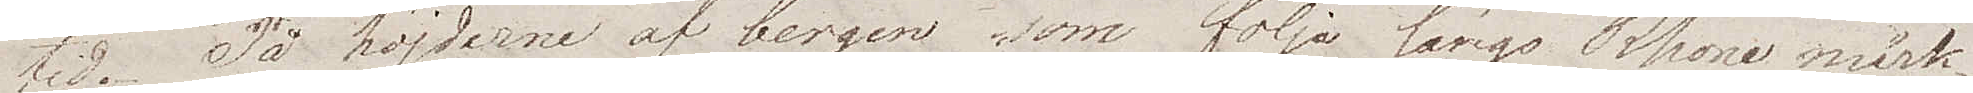tid. På höjderna af bergen som följa längs Rhone märk¬
